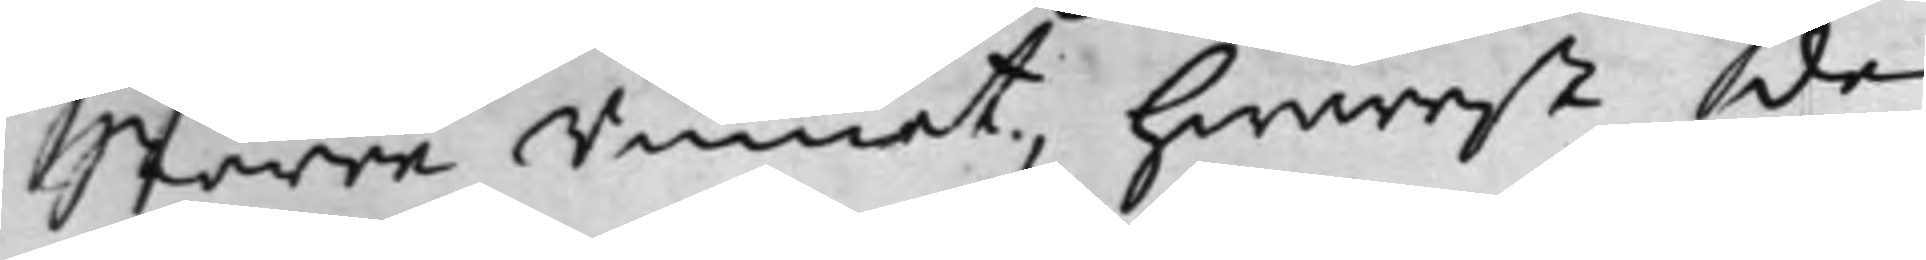Större Rummet, hwarest de
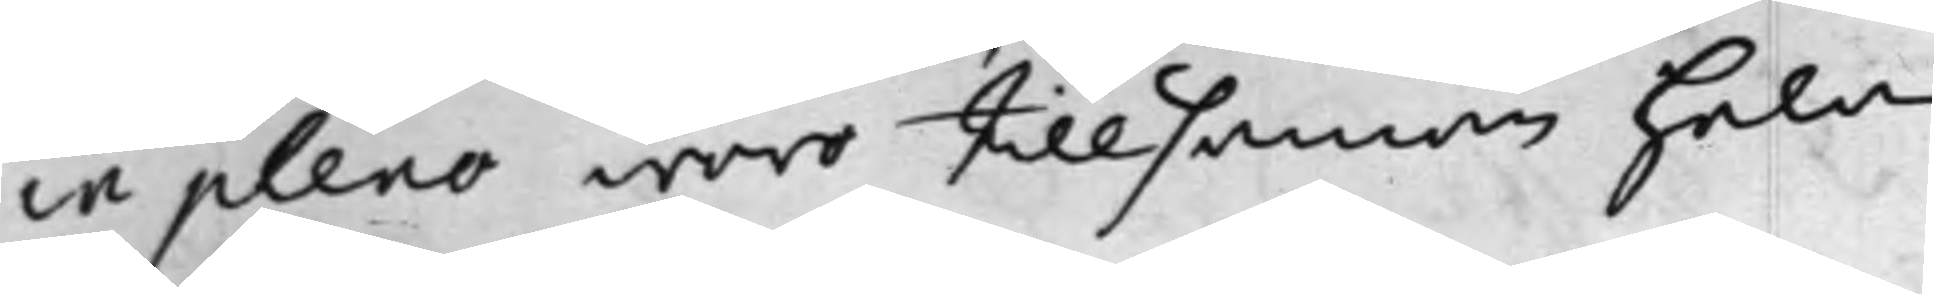in pleno woro tillsamman hela
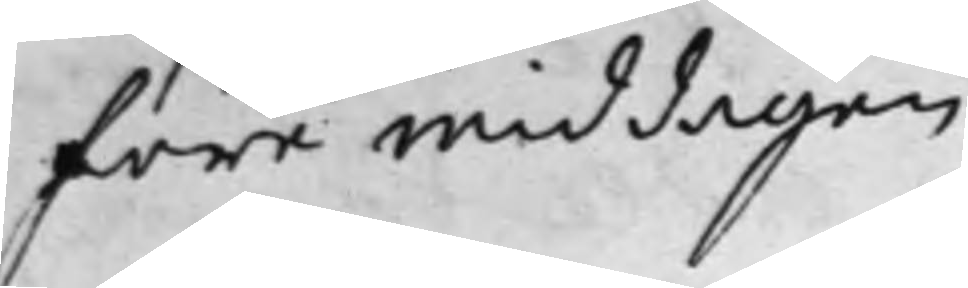före middagen.
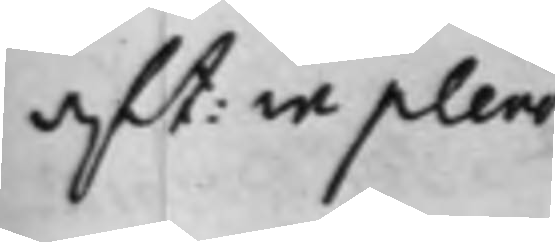aft: in pleno
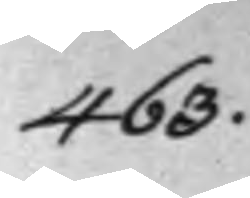463.
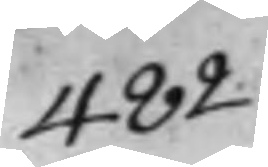482.
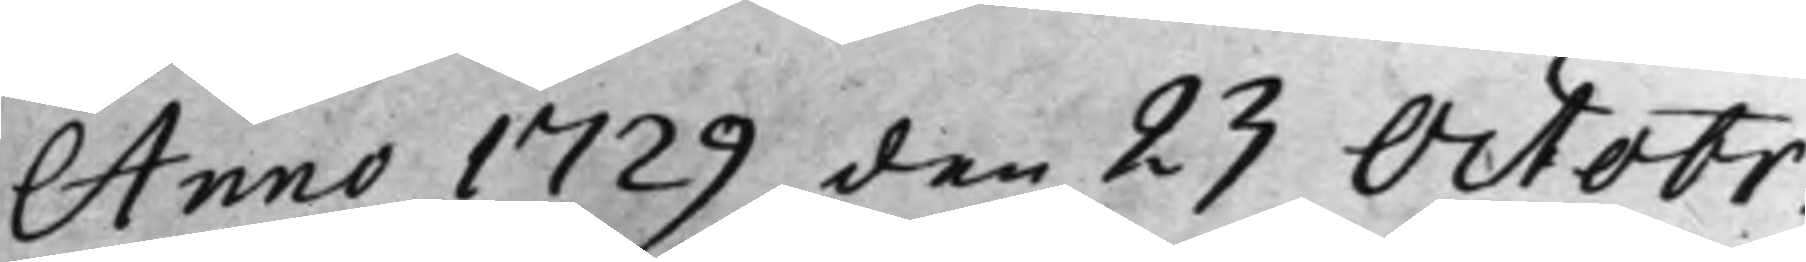Anno 1729 den 23 Octobr.
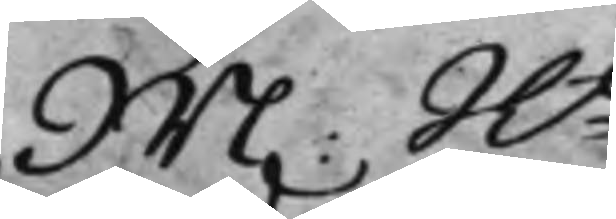M. Ht
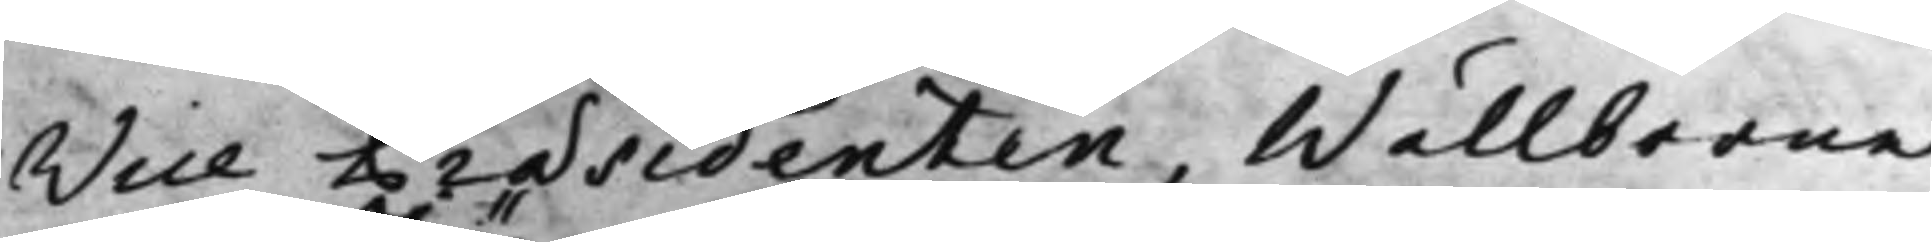Vice Præsidenten, Wällborne
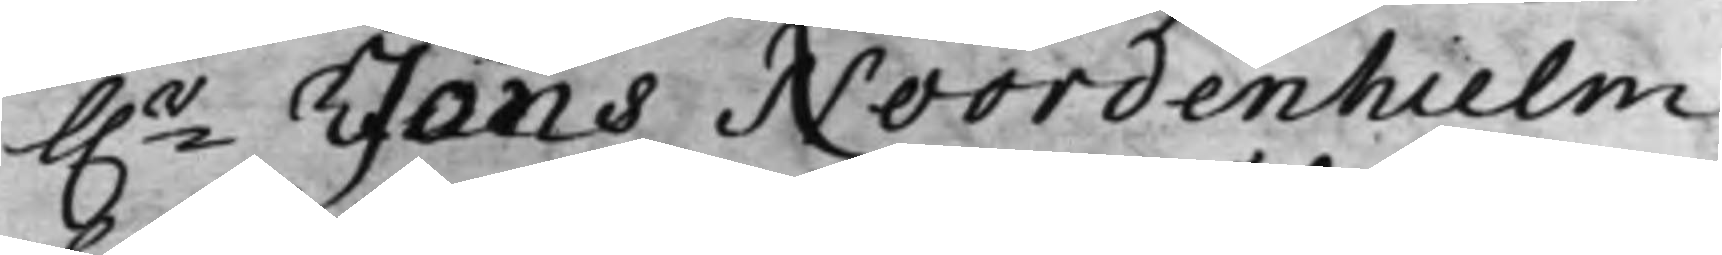h.r Jöns Noordenhielm,
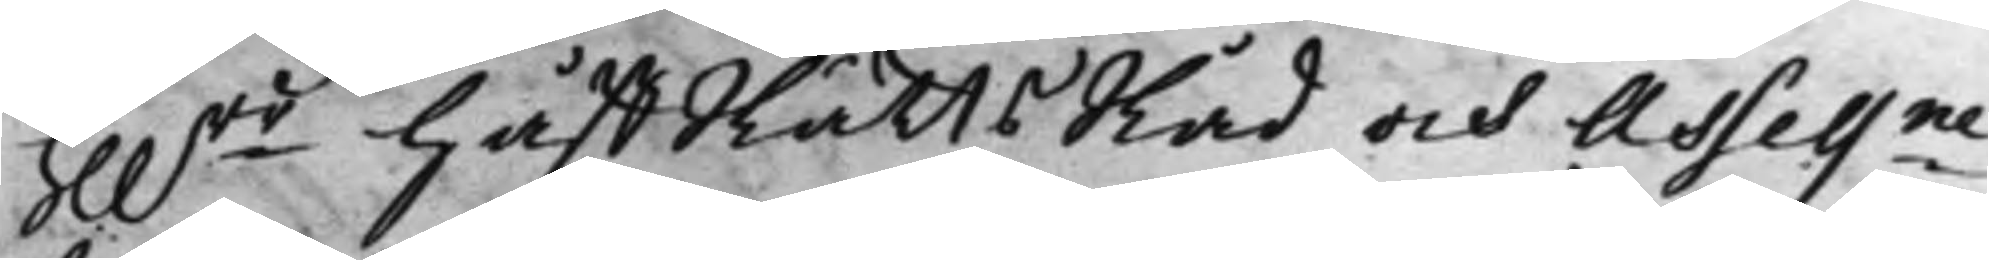Hh.rr HåffRättsRåd och Assessne
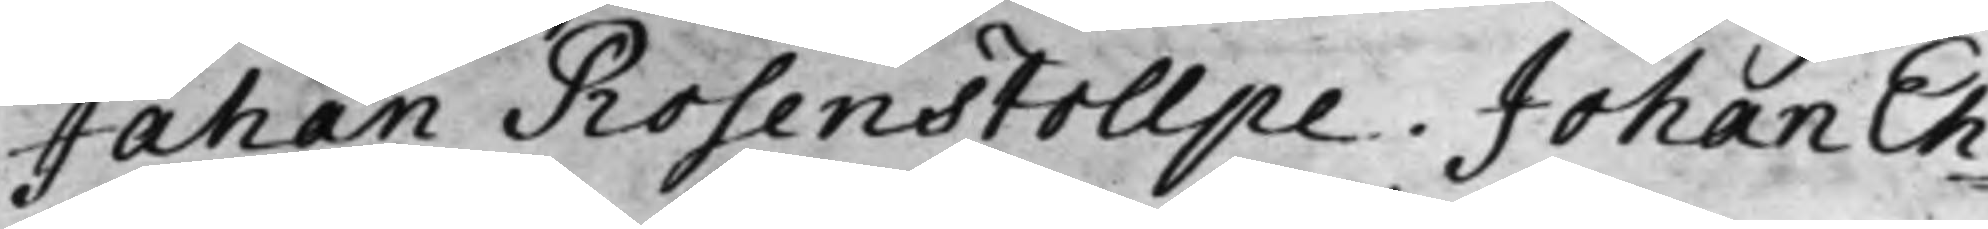Johan Rosenstollpe. Johan Eh¬
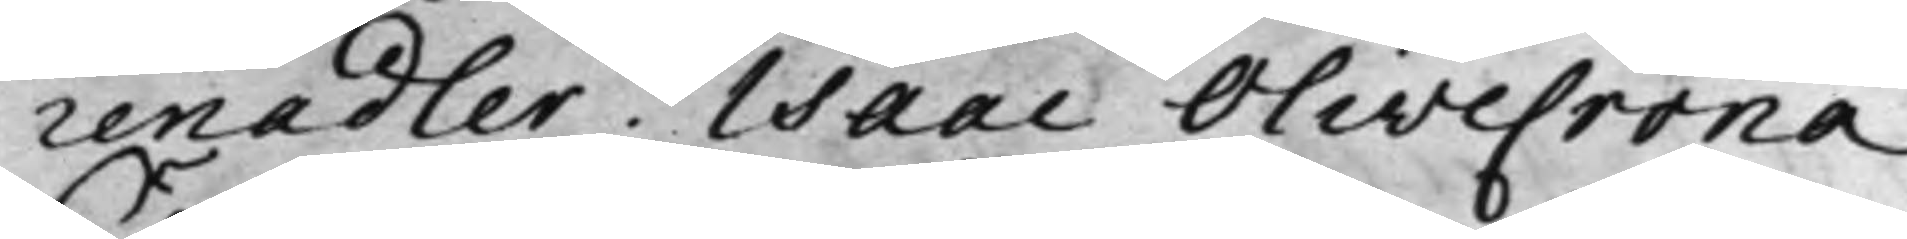renadler, Isaac Olivecrona.
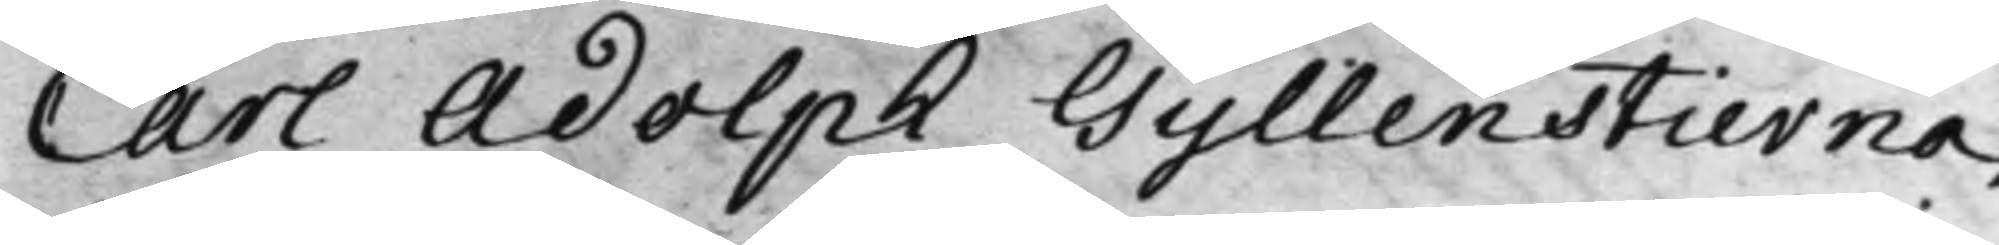Carl Adolph Gyllenstierna.
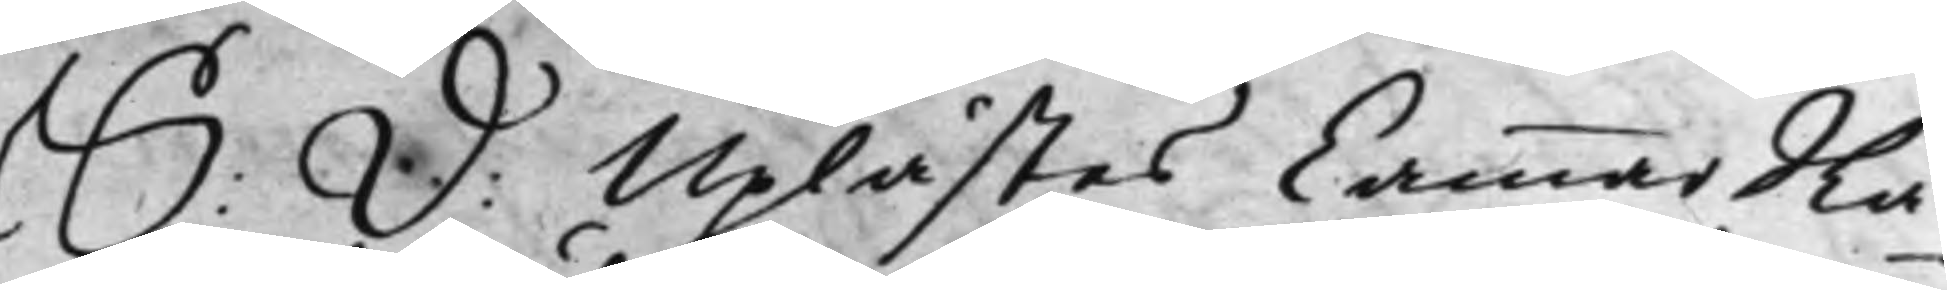S: D: Uplästes CammarRå¬
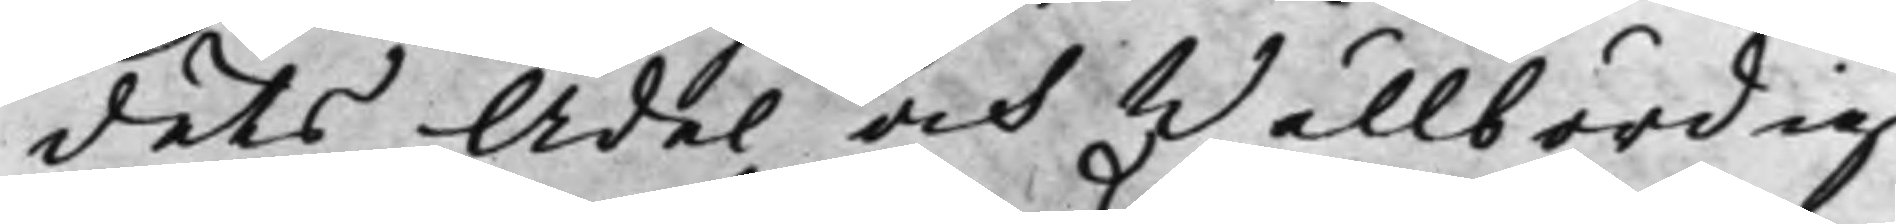dets Ädel och Wällbördig
